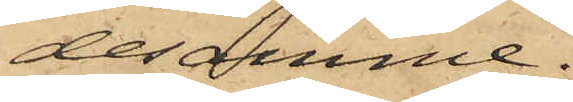desamme.
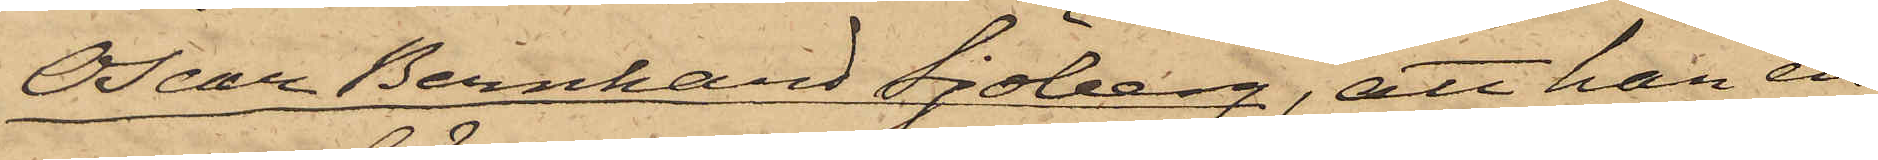Oscar Bernhard Sjöberg, att han en
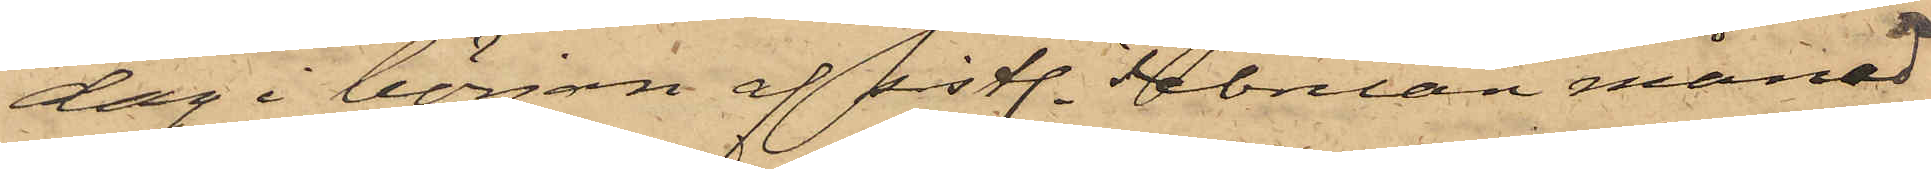dag i början af sistl. Februari månad
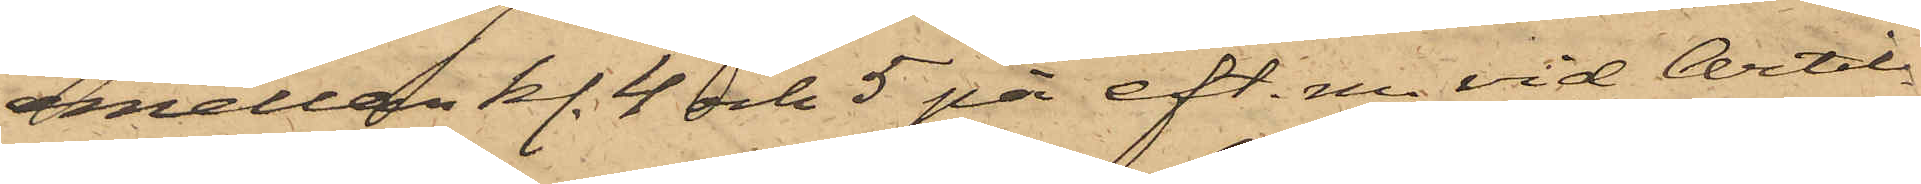emellan kl. 4 och 5 på eft. m. vid Artil¬
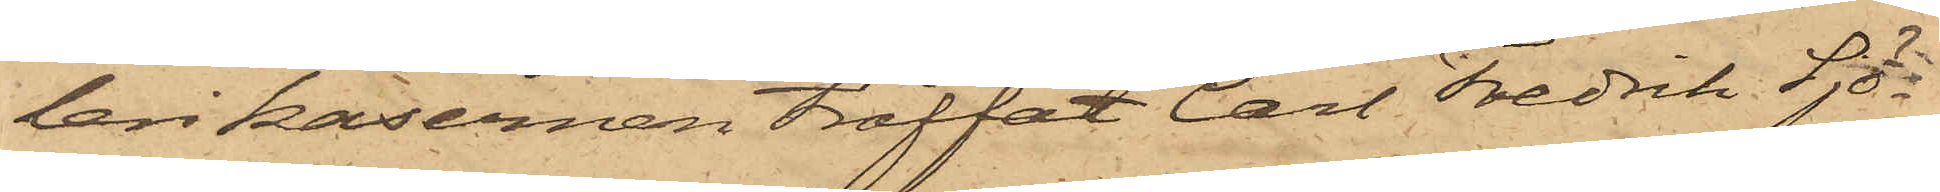leri kasernen träffat Carl Fredrik Sjö¬
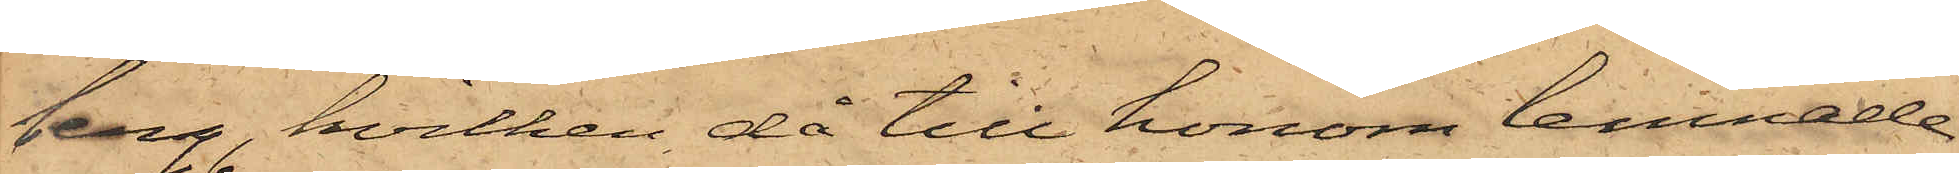berg, hvilken då till honom lemnade
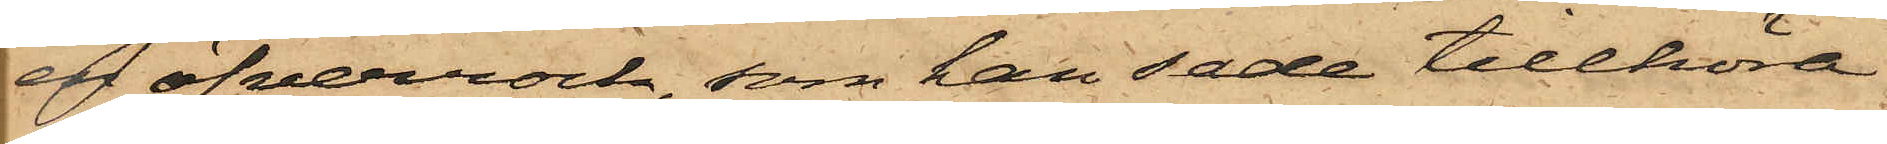en öfverrock, som han sade tillhöra
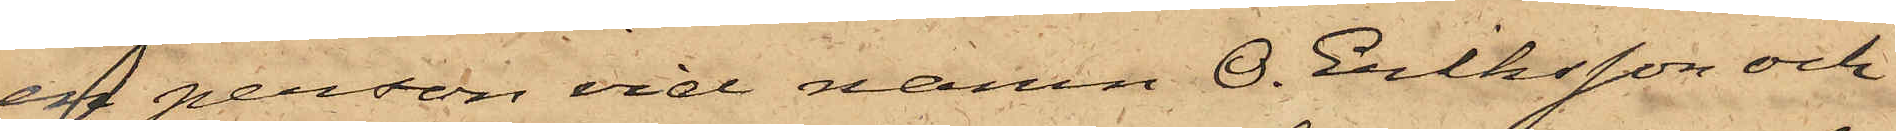en person vid namn O. Eriksson och
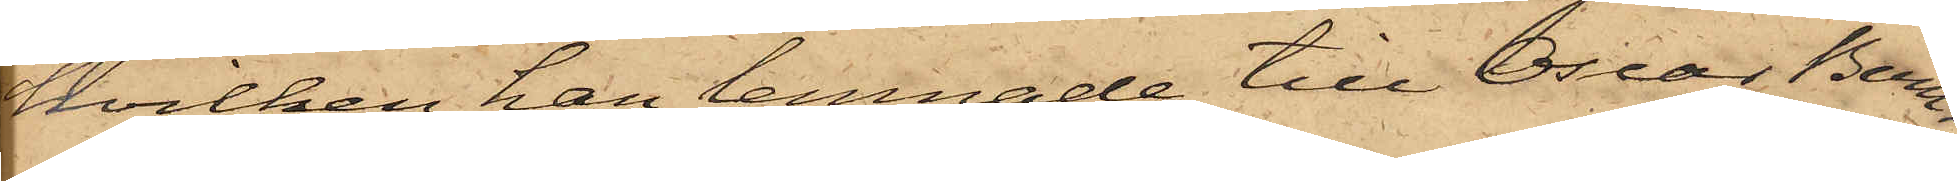hvilken han lemnade till Oscar Berg¬
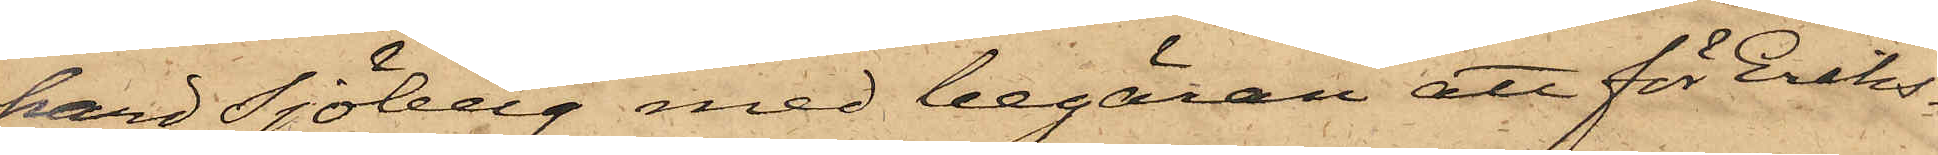hard Sjöberg med begäran att för Eriks¬
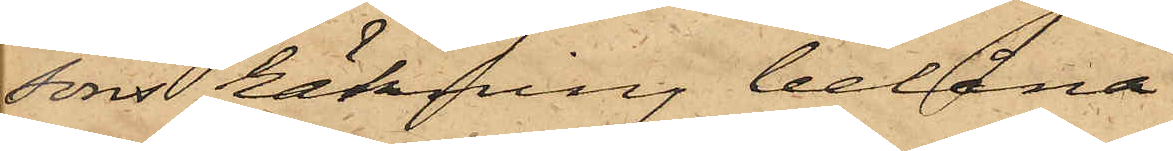sons räkning belåna,
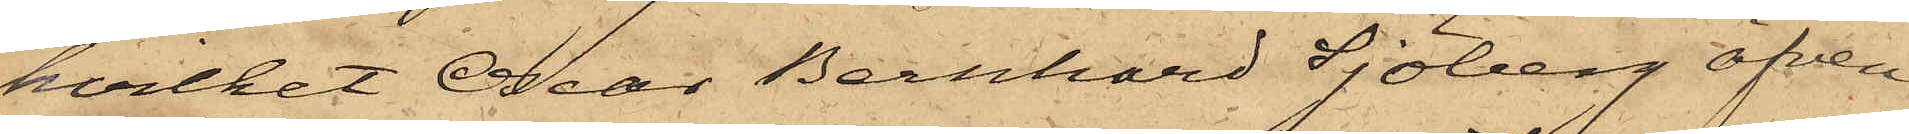hvilket Ocar Bernhard Sjöberg äfven
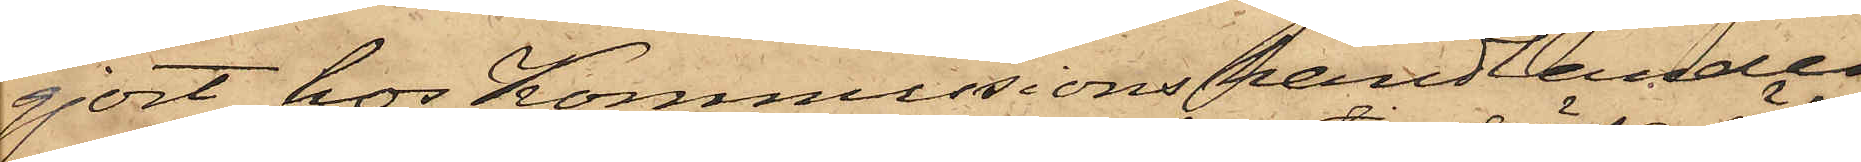gjort hos Kommissionshandlanden
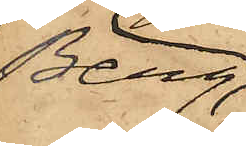Berg,
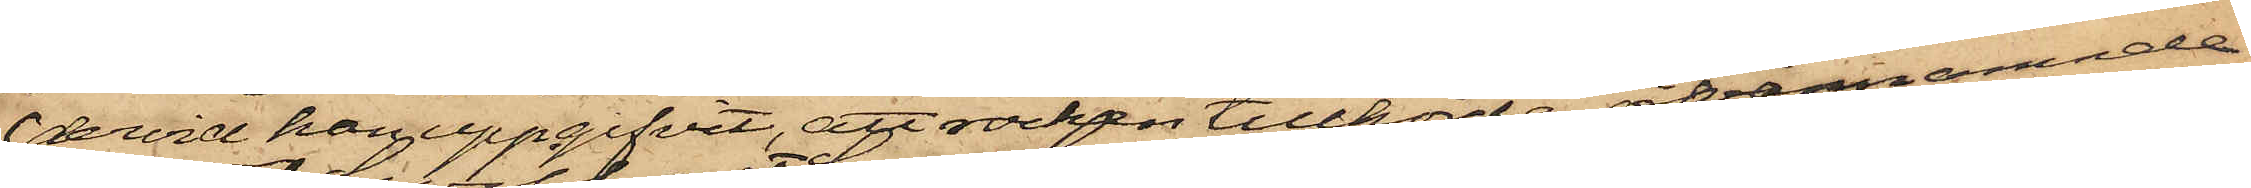dervid han uppgifvit, att rocken tillhörde ofvannämnde
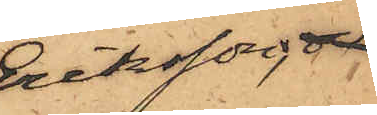Eriksson;
